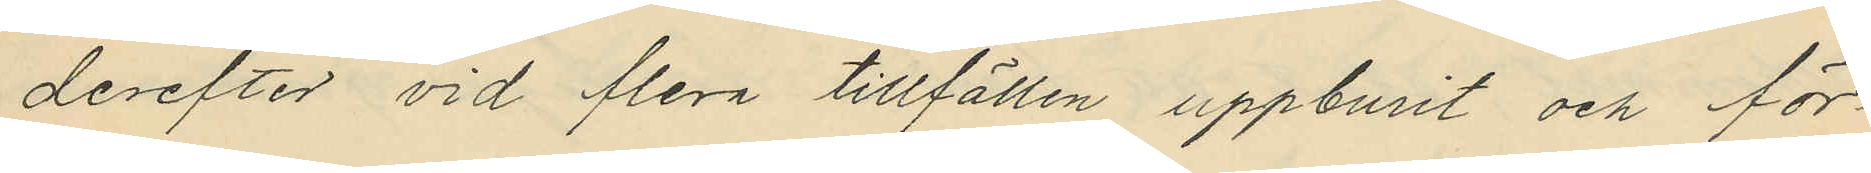derefter vid flera tillfällen uppburit och för¬
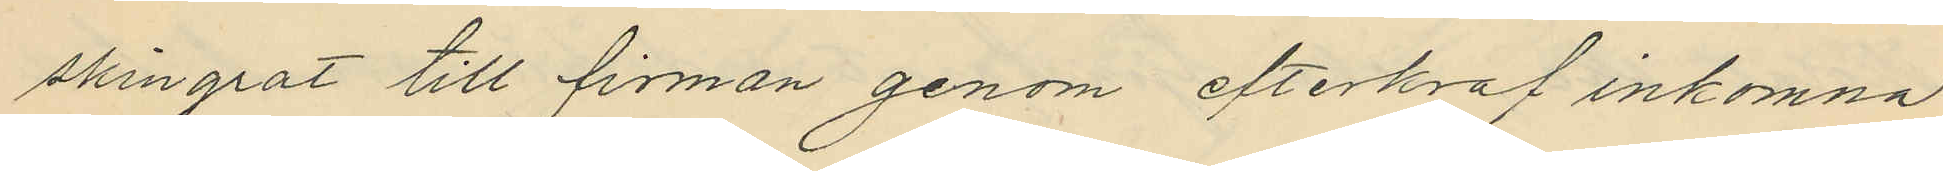skingrat till firman genom efterkraf inkomna
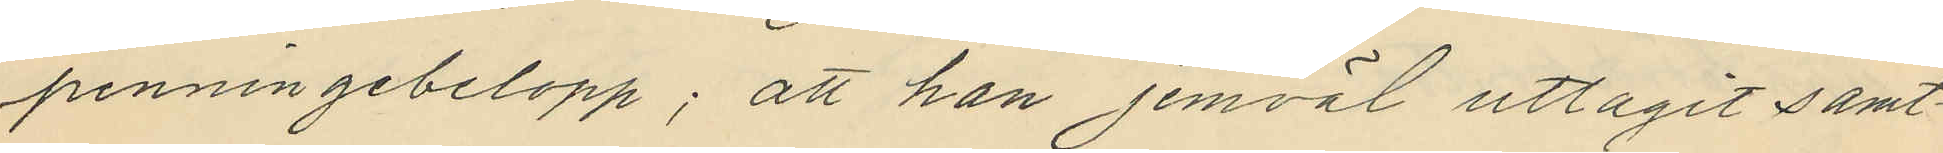penningebelopp; att han jemväl uttagit samt¬
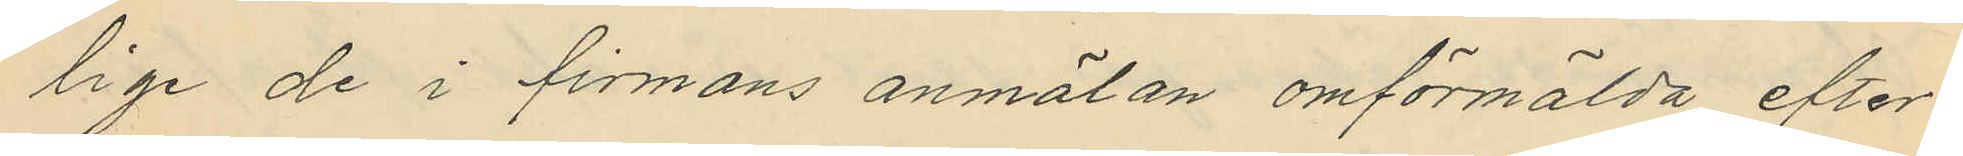lige de i firmans anmälan omförmälda efter¬
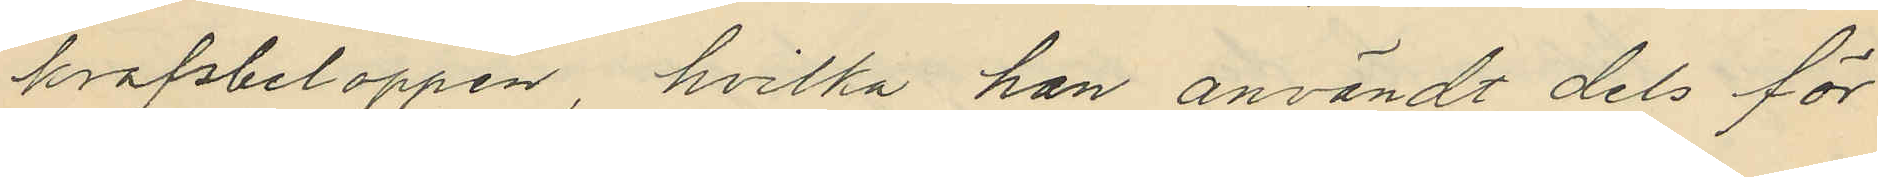krafsbeloppen, hvilka han användt dels för
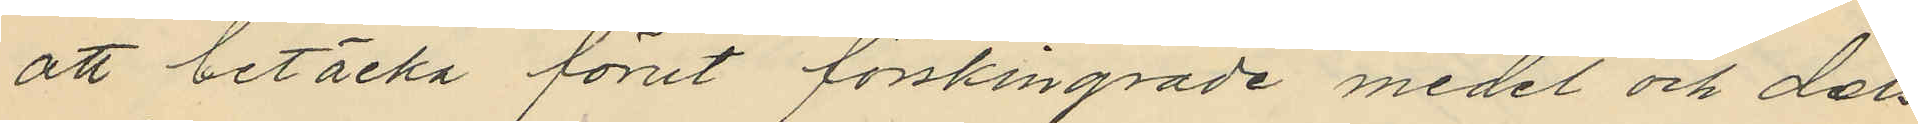att betäcka förut förskingrade medel och dels
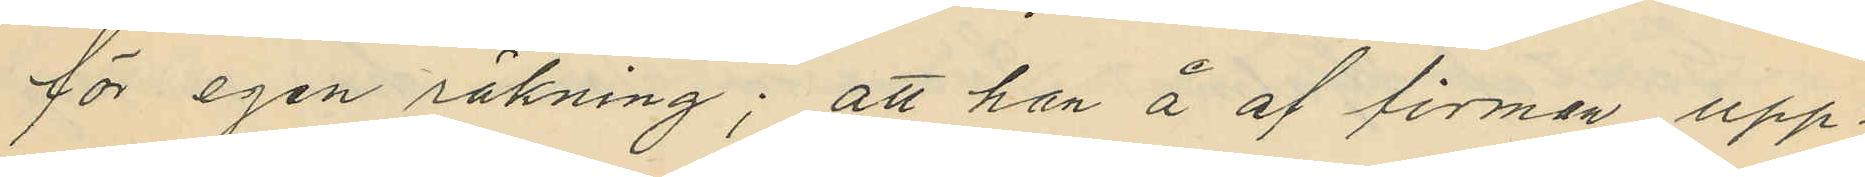för egen räkning; att han å af firman upp¬
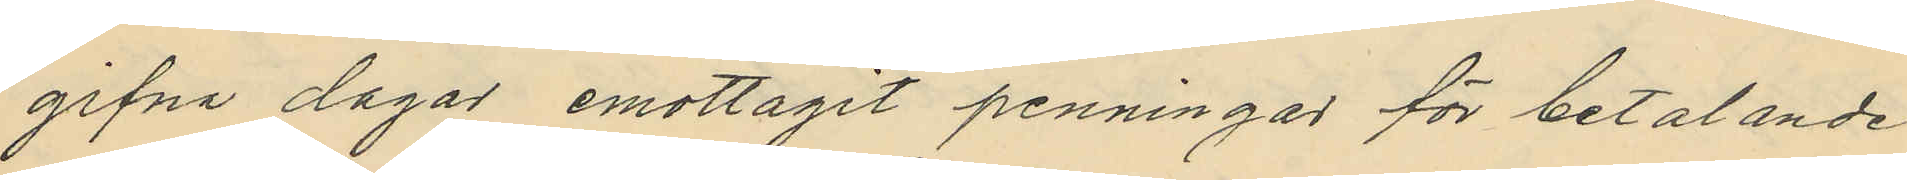gifna dagar emottagit penningar för betalande
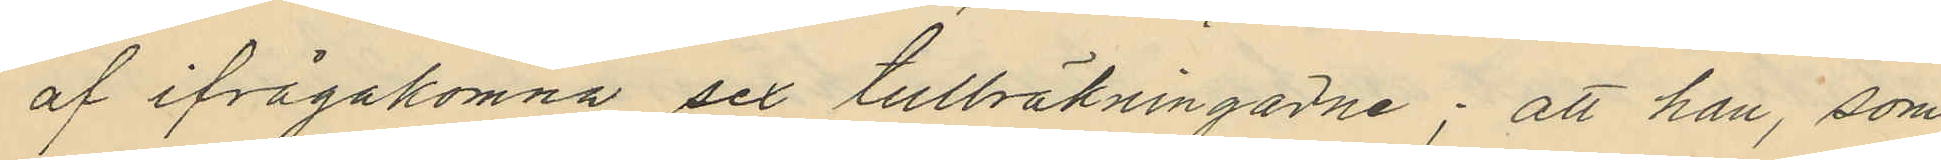af ifrågakomne sex tullräkningarne; att han, som
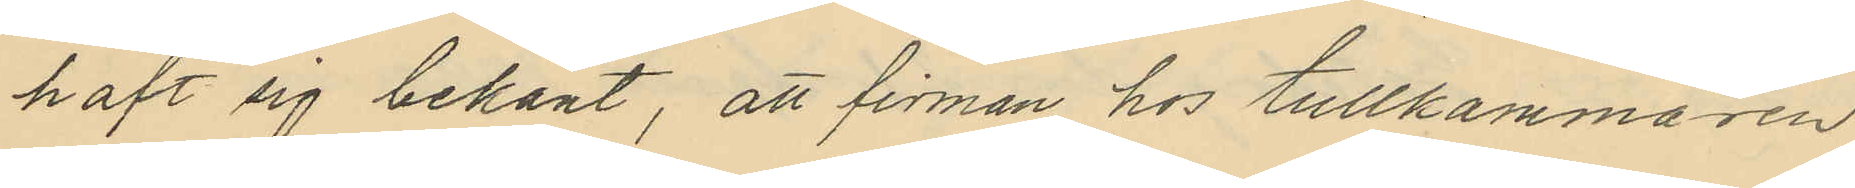haft sig bekant, att firman hos tullkammaren
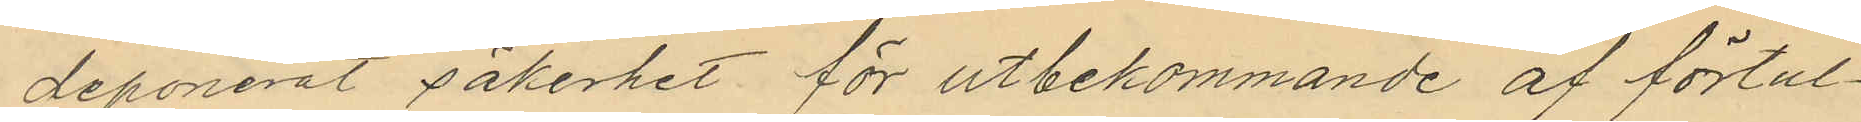deponerat säkerhet för utbekommande af förtul¬
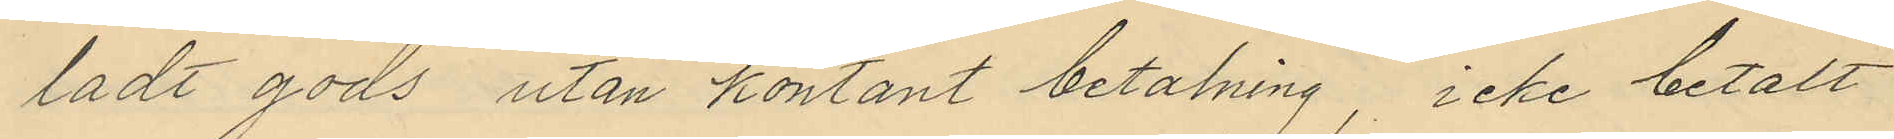ladt gods utan kontant betalning, icke betalt
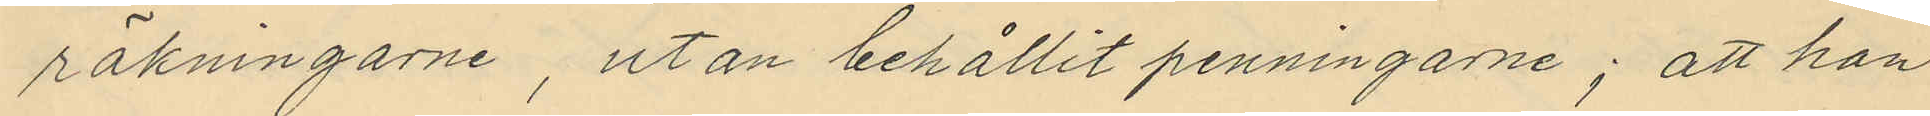räkningarne, utan behållit penningarne; att han
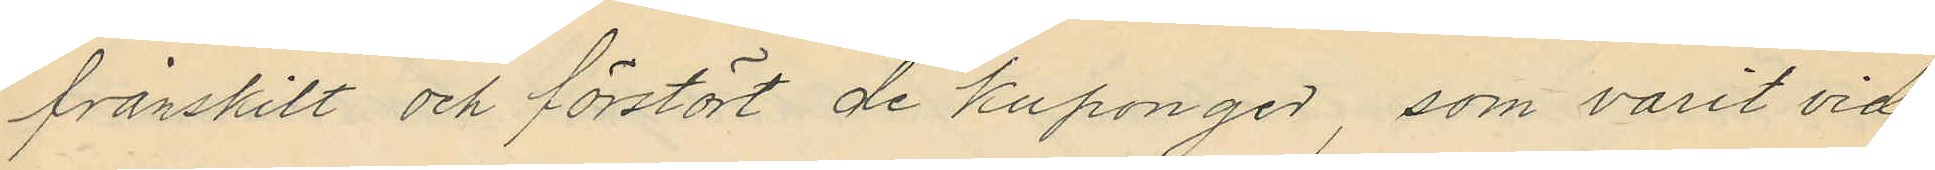frånskilt och förstört de kuponger, som varit vid¬
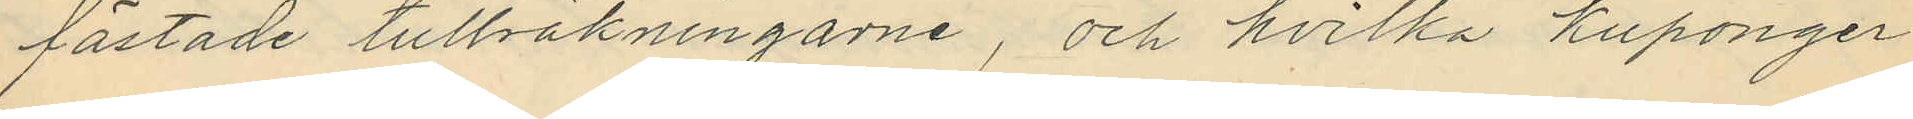fästade tullräkningarne, och hvilka kuponger
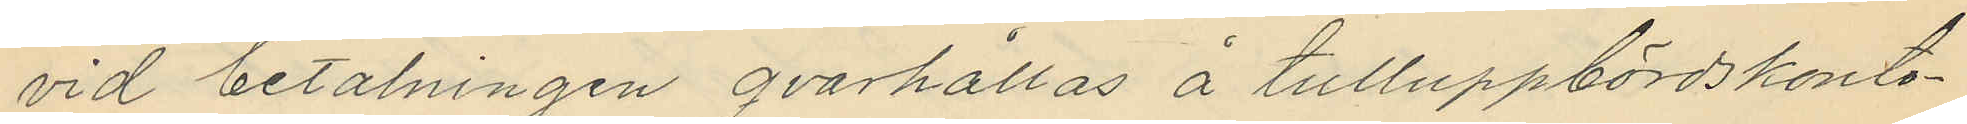vid betalningen qvarhållas å tulluppbördskonto¬
